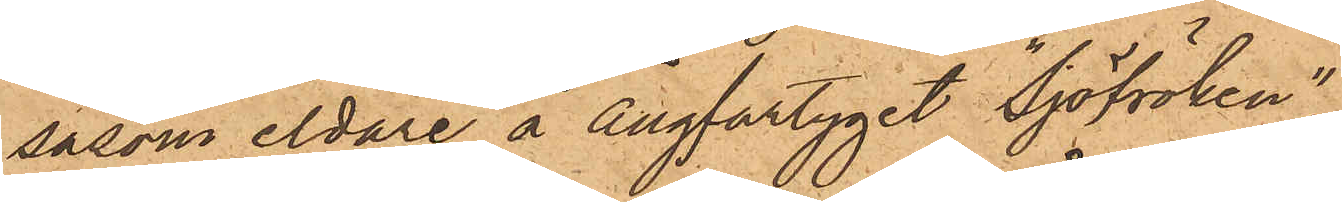såsom eldare å ångfartyget "Sjöfröken"
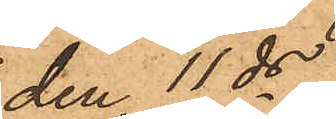den 11ds
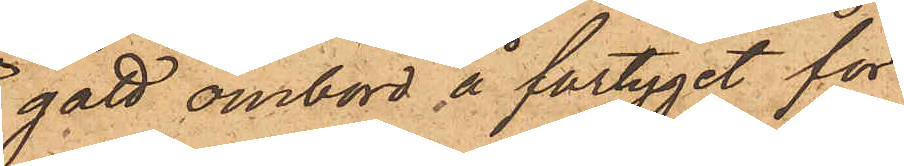gått ombord å fartyget för
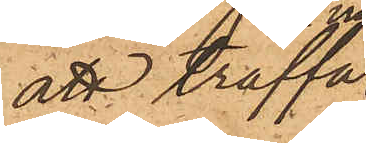att träffa
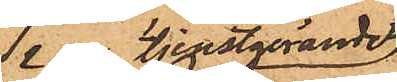nu tjenstgörande
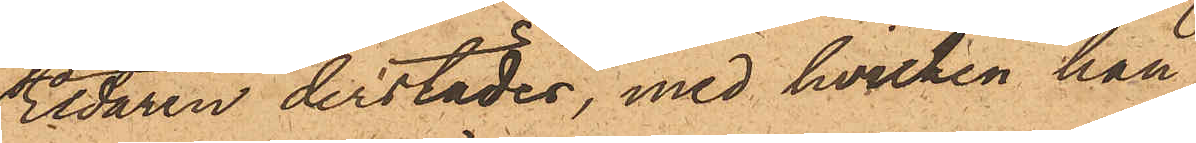Eldaren derstädes, med hvilken han
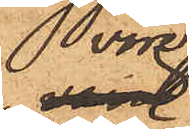vore
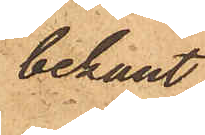bekant
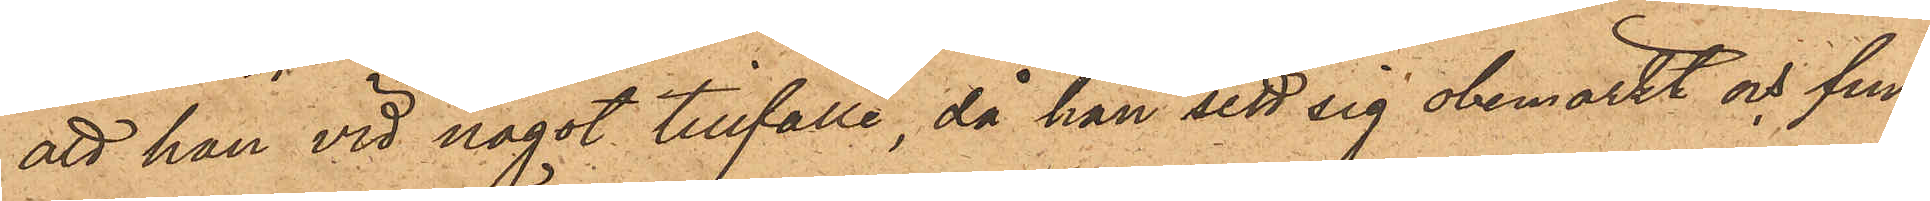att han vid något tillfälle, då han sett sig obemärkt och fun¬
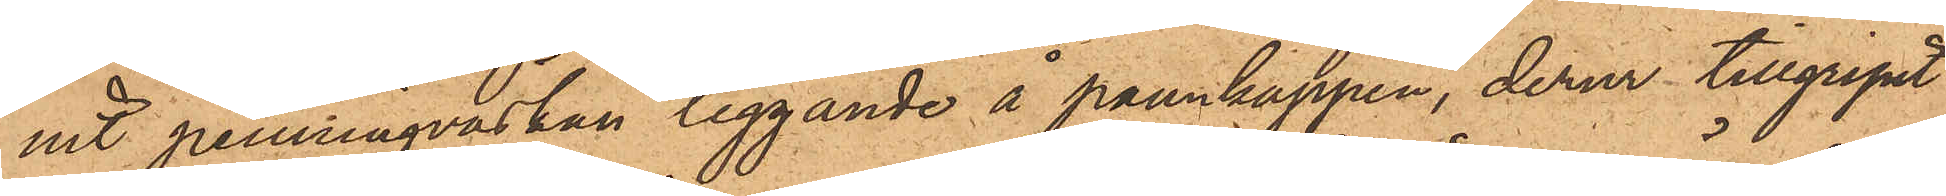nit penningväskan liggande å pannkappen, derur tillgripit
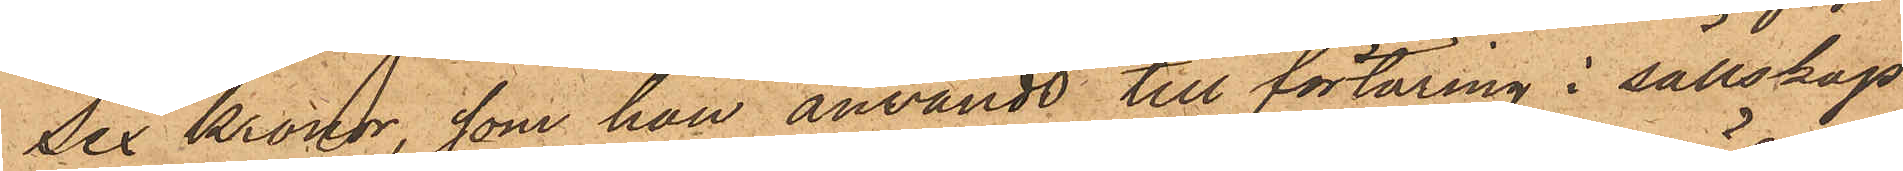Sex Kronor, som han användt till förtäring i sällskap
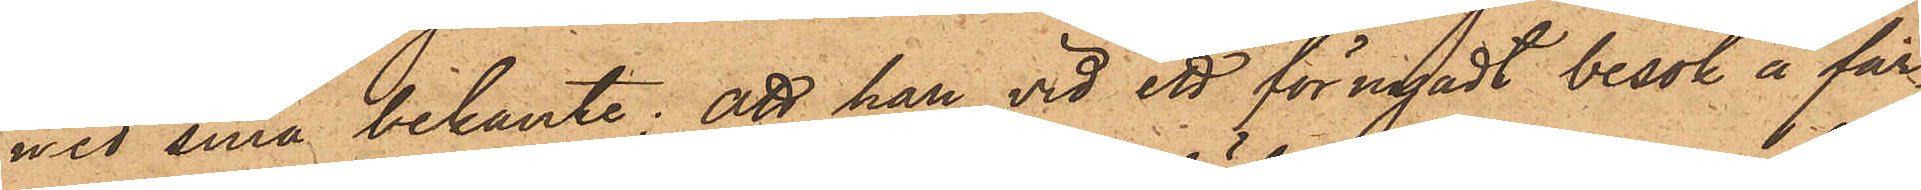med sina bekante; att han vid ett förnyadt besök å far¬
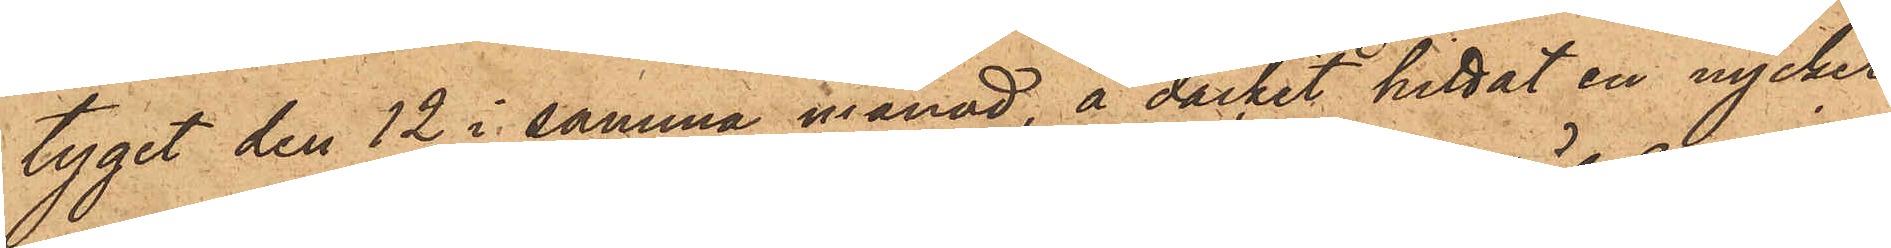tyget den 12 i samma månad, å däcket hittat en nyckel
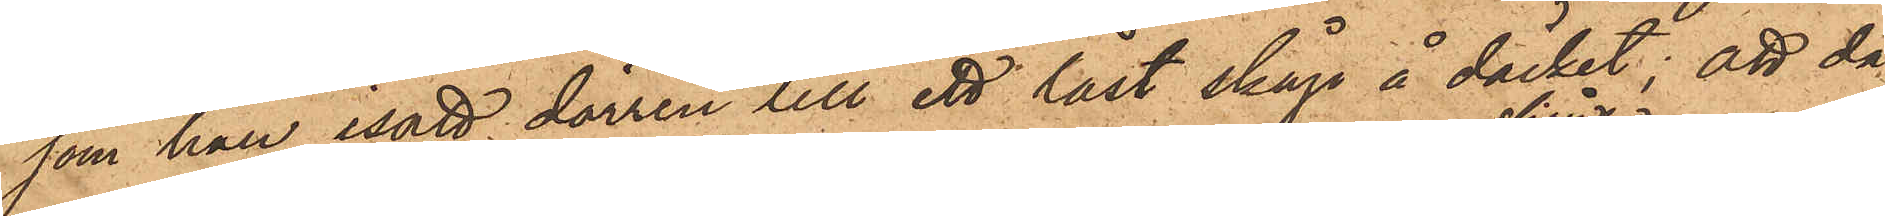som han satt dörren till ett låst skåp å däcket; att då
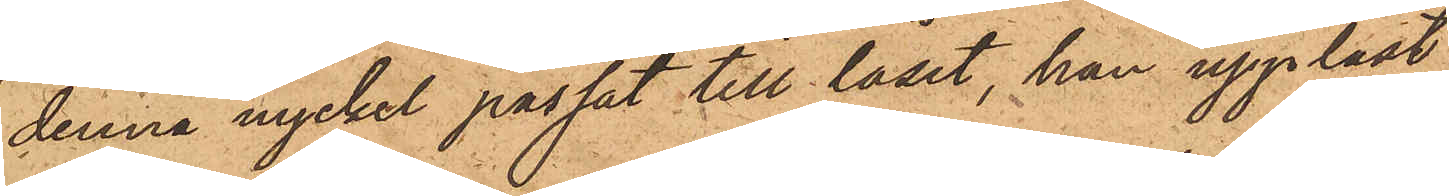denna nyckel passat till låset, han upplåst
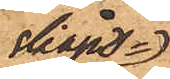skåps¬
